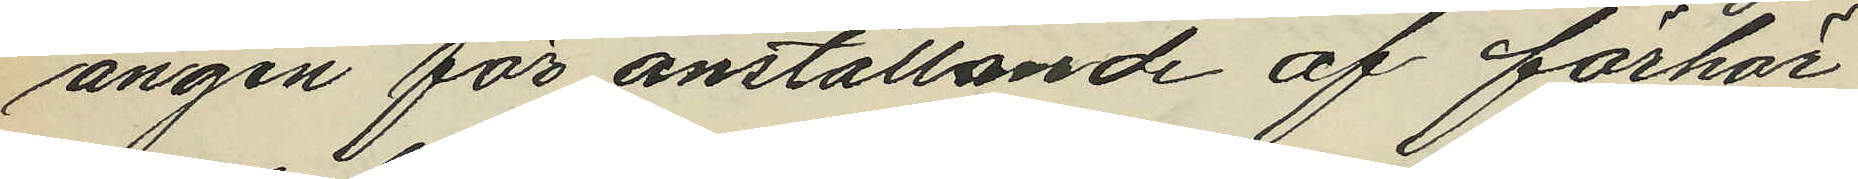ängen för anställande af förhör
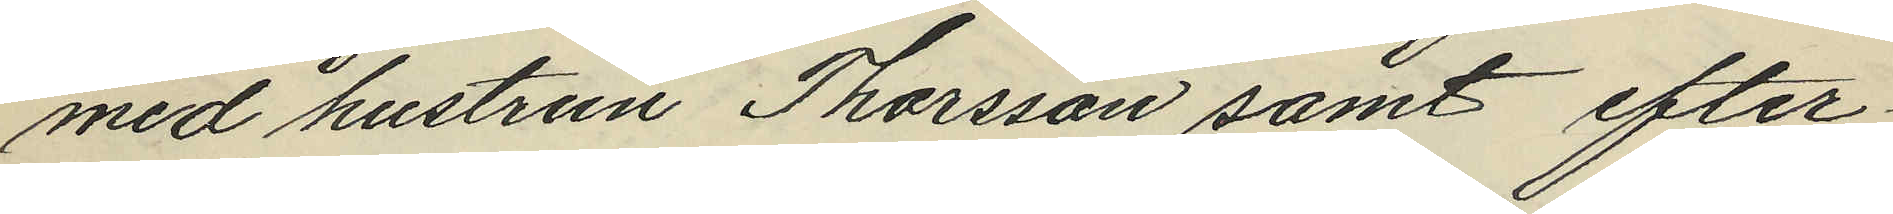med hustrun Thorsson samt efter
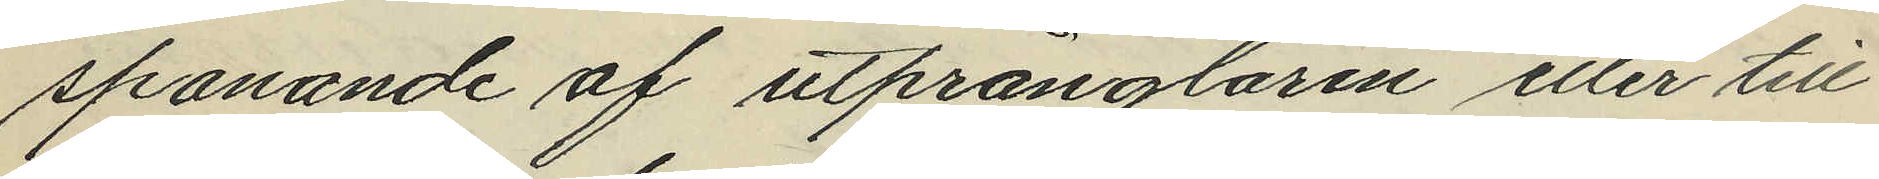spanande af utpränglaren eller till
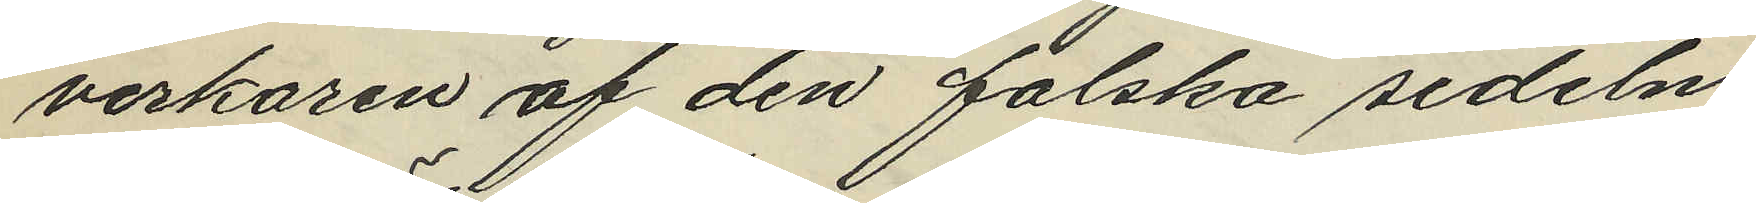verkaren af den falska sedeln.
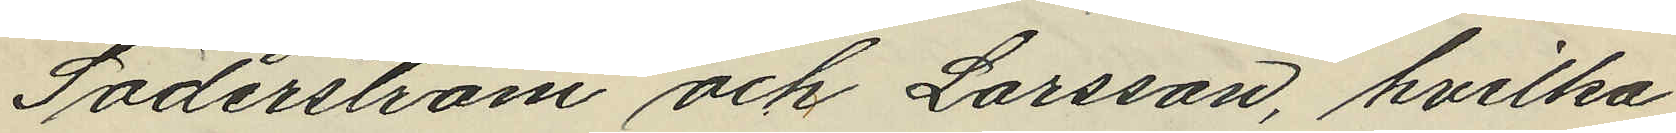Söderström och Larsson, hvilka
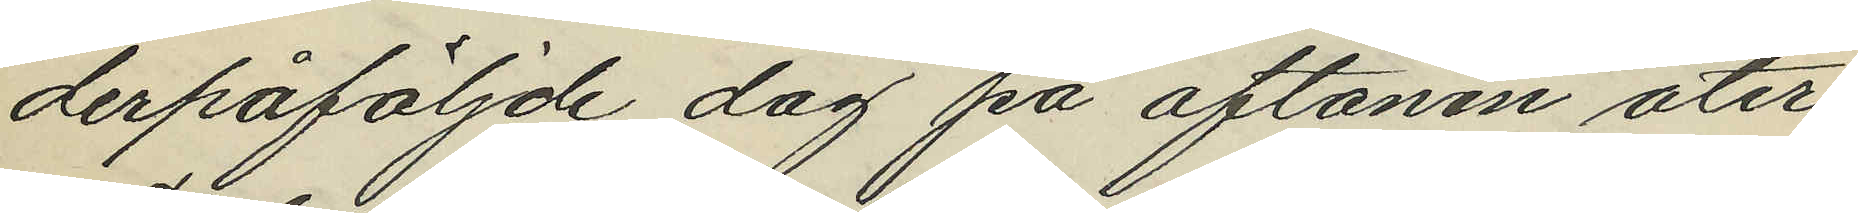derpåföljde dag på aftonen åter¬
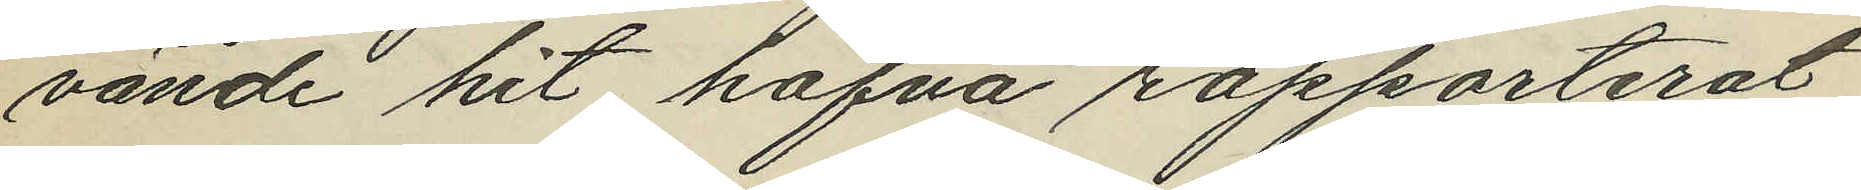vände hit hafva rapporterat,
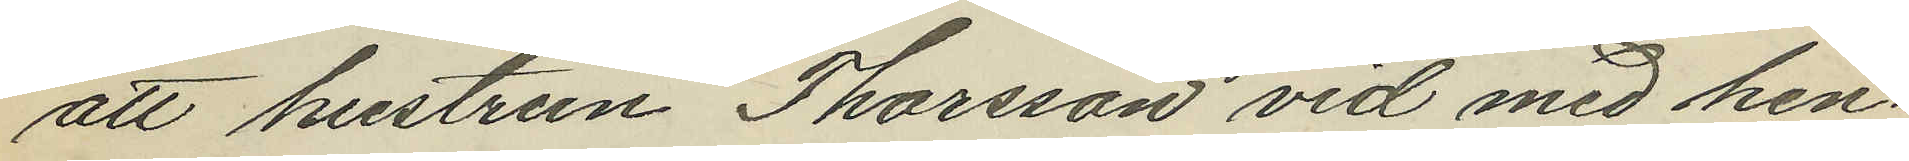att hustrun Thorsson vid med hen¬
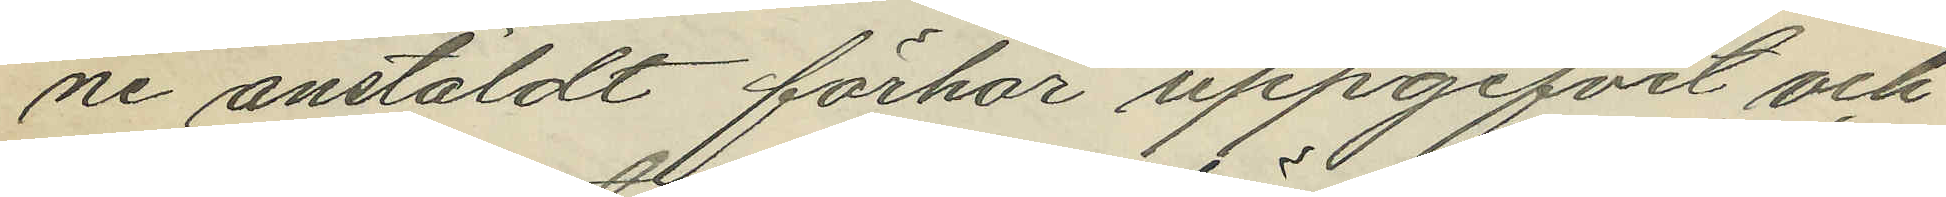ne anstäldt förhör uppgifvit och
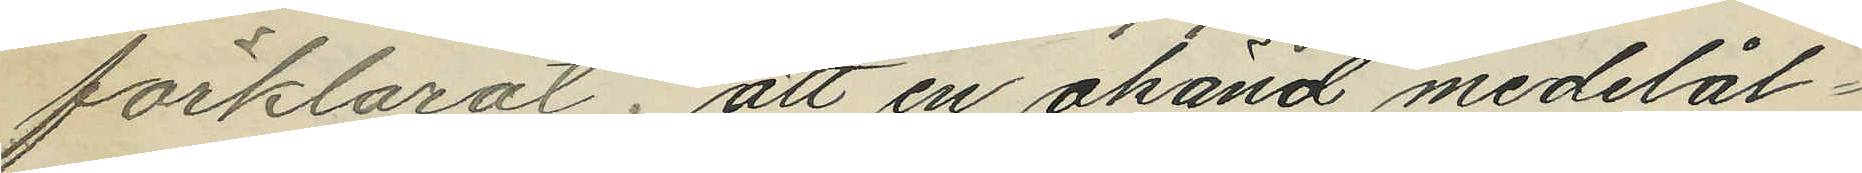förklarat; att en okänd medelål¬
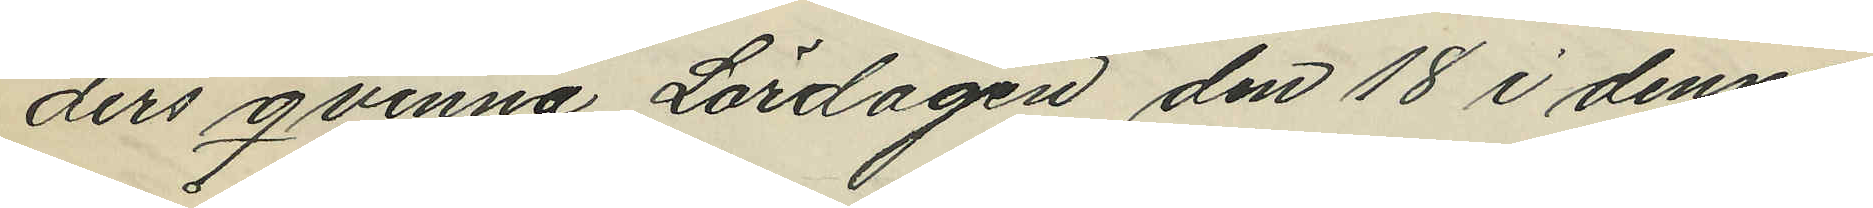ders qvinna Lördagen den 18 i denna
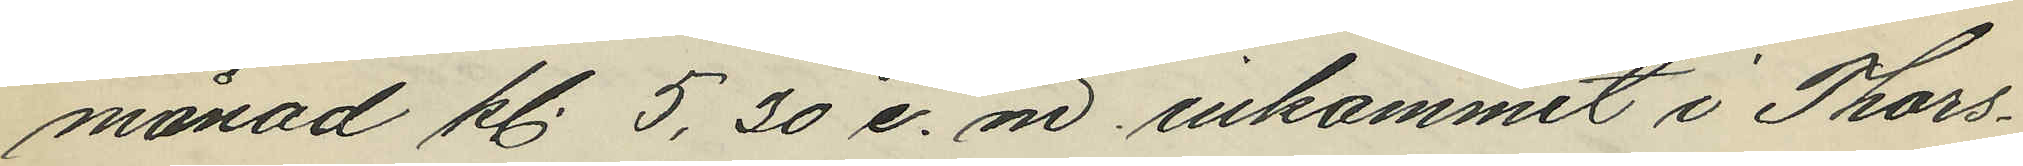månad kl. 5,30 e. m inkommit i Thors¬
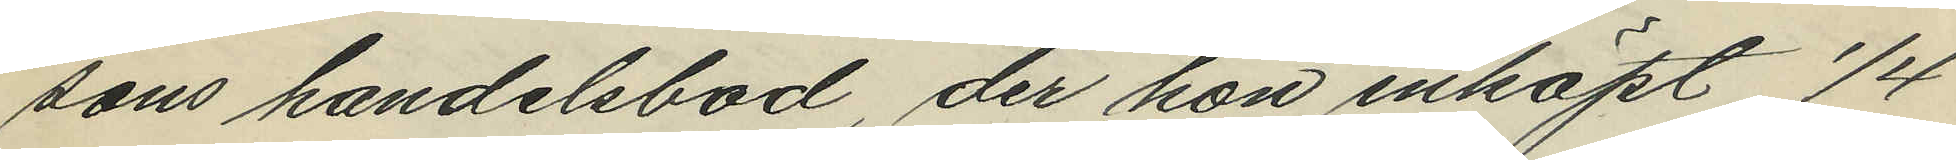sons handelsbod, der hon inköpt 1/4
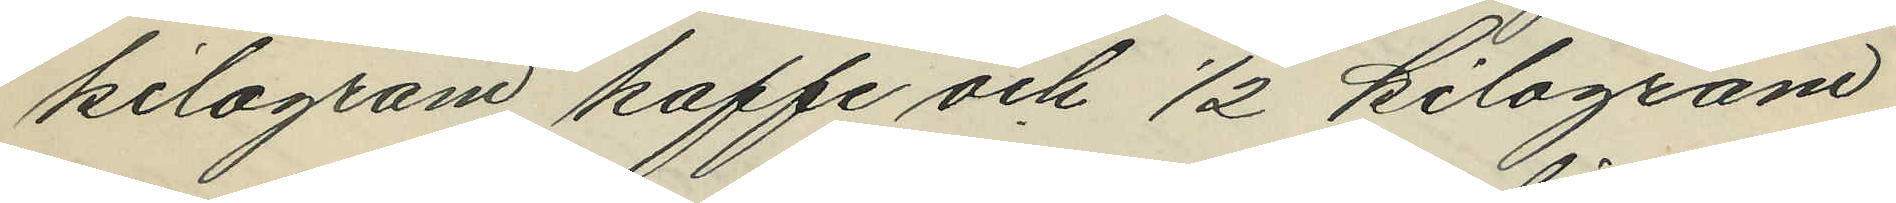kilogram kaffe och 1/2 kilogram
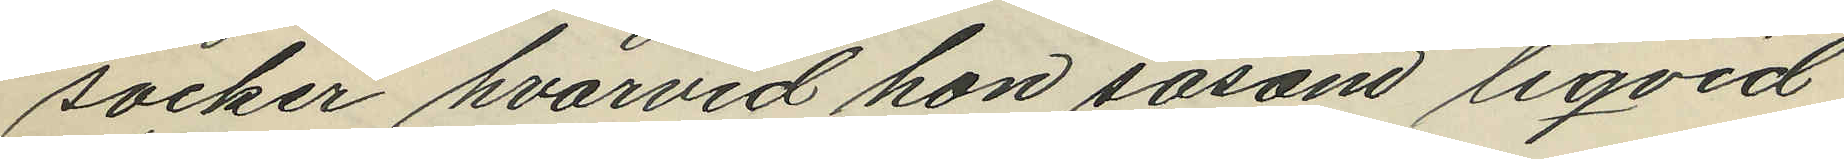socker hvarvid hon såsom liqvid
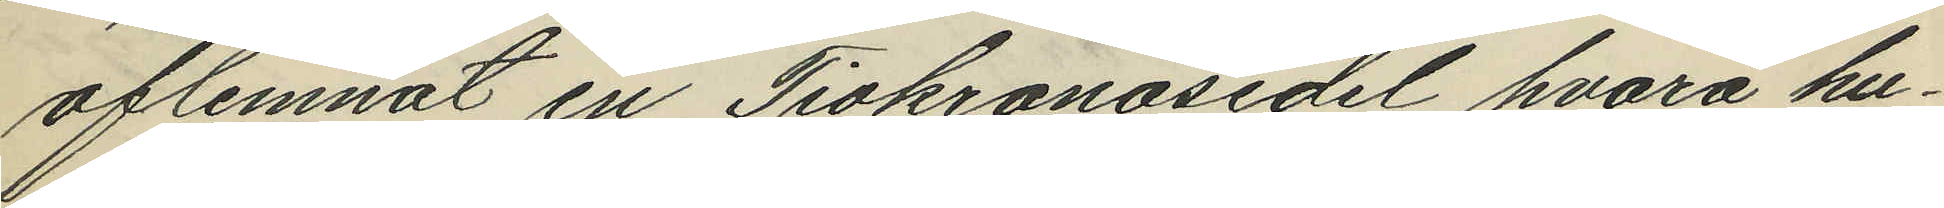aflemnat en Tiokronosedel hvarå hu¬
